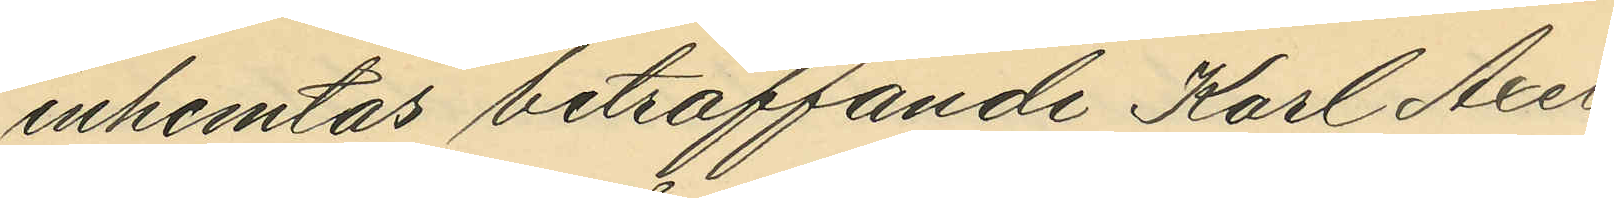inhemtas beträffande Karl Axel
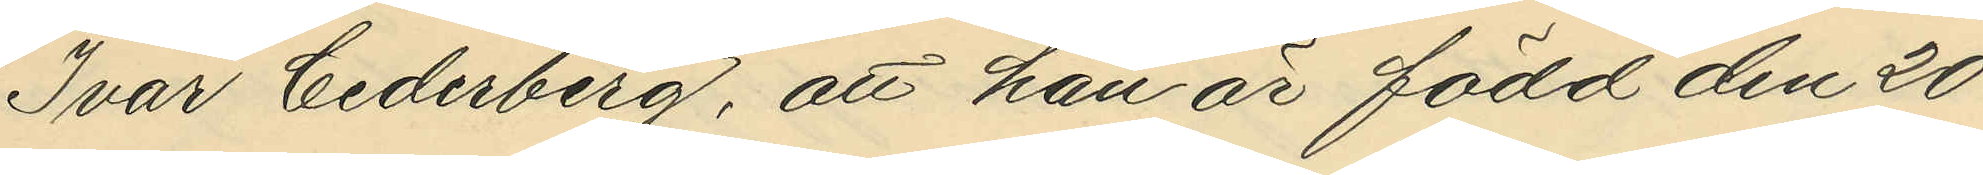Ivar Cederberg, att han är född den 20
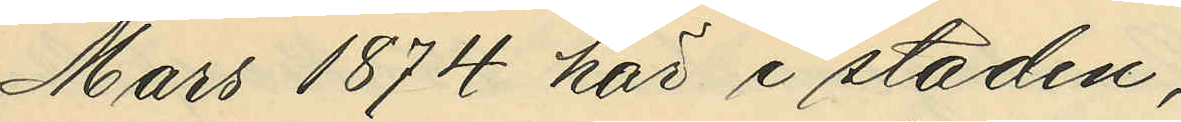Mars 1874 här i staden;
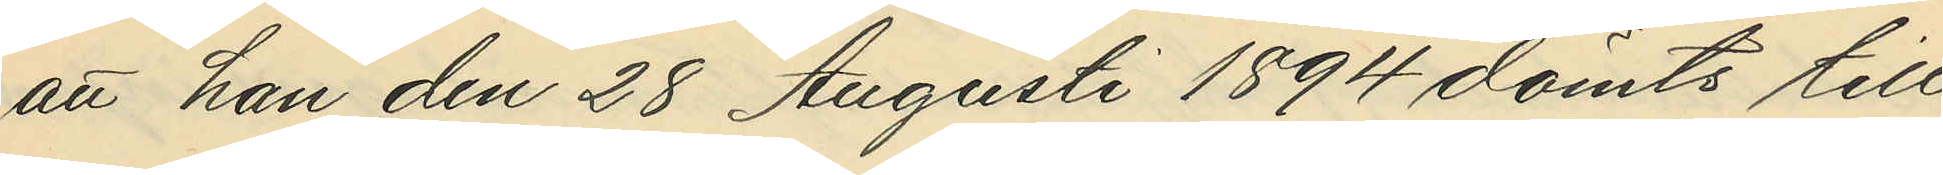att han den 28 Augusti 1894 dömts till
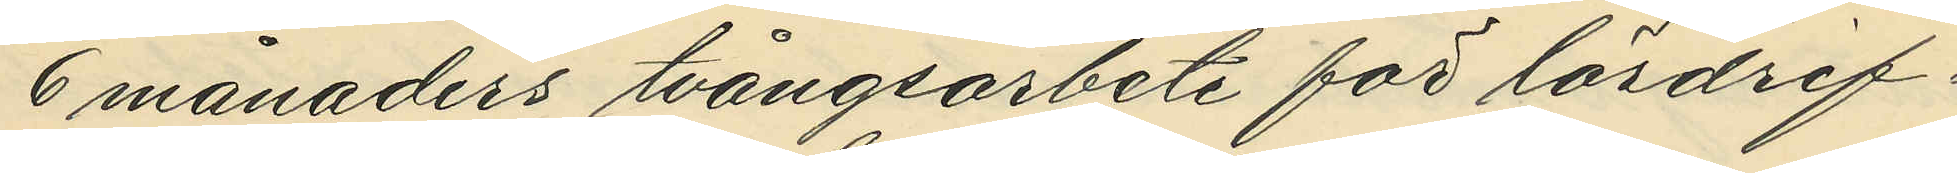6 månaders tvångsarbete för lösdrif¬
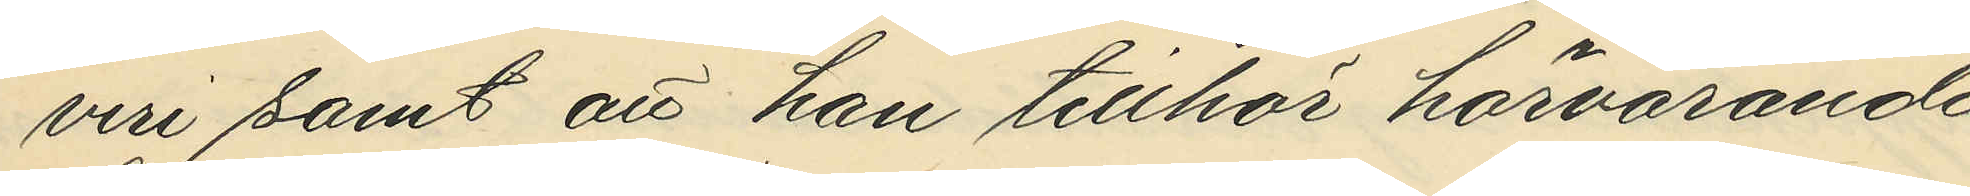veri samt att han tillhör härvarande
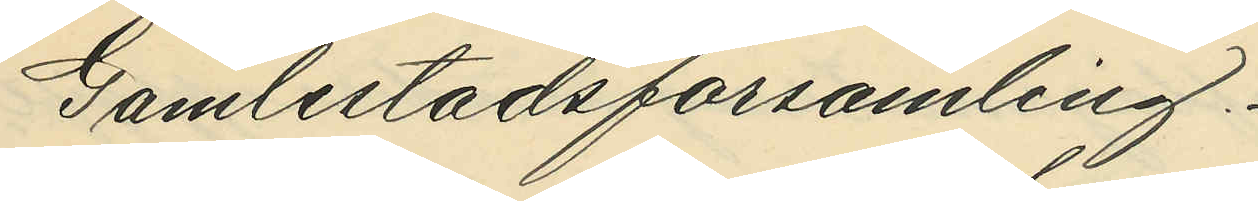Gamlestadsförsamling.
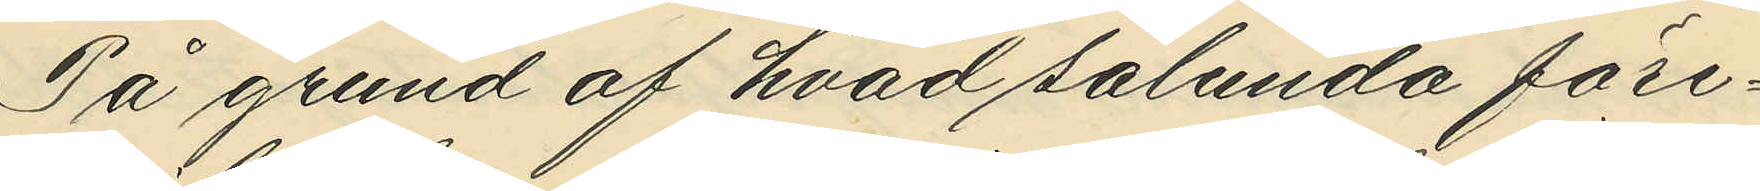På grund af hvad sålunda före¬
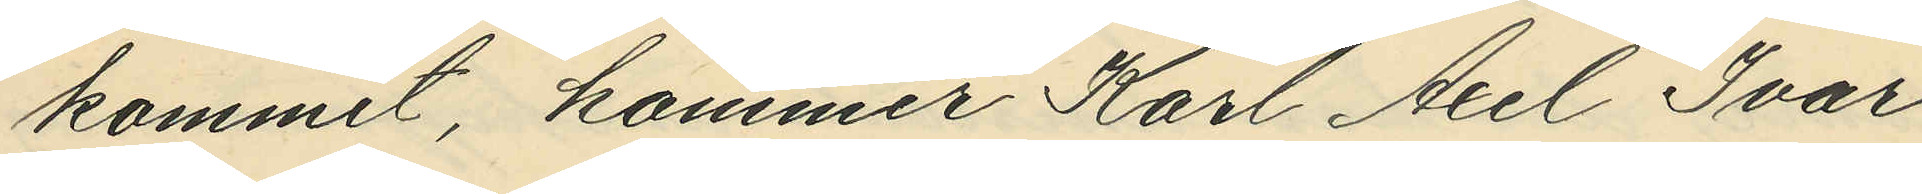kommit, kommer Karl Axel Ivar
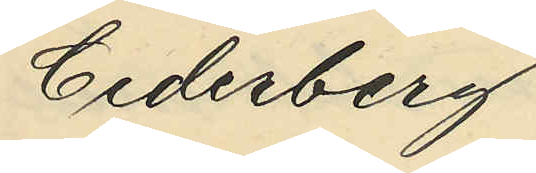Cederberg
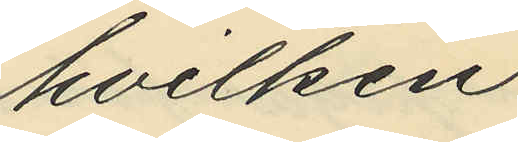hvilken
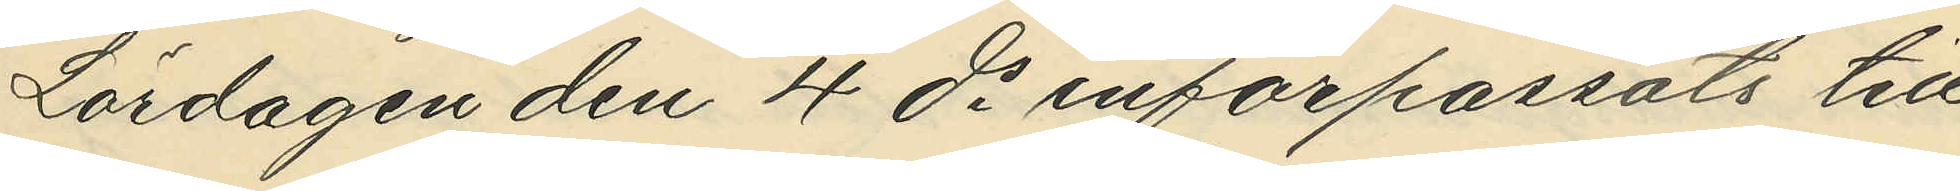Lördagen den 4 ds införpassats till
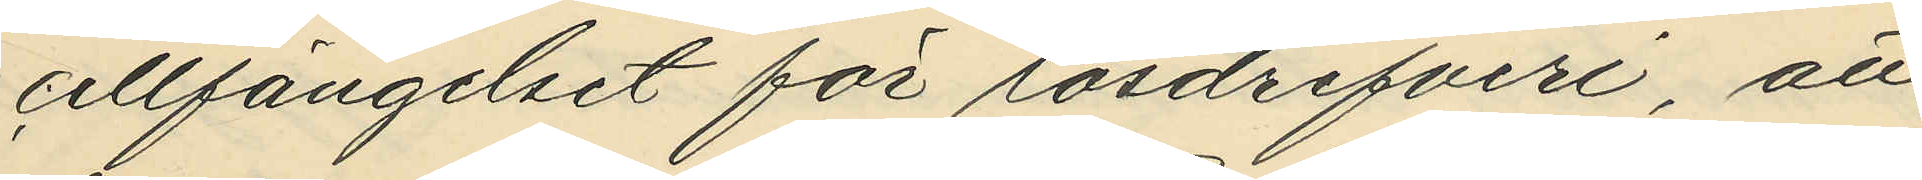cellfängelset för lösdrifveri, att 
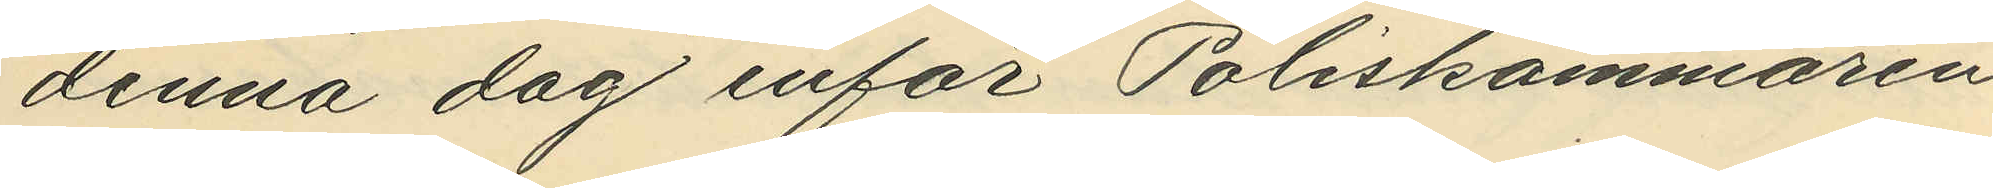denna dag inför Poliskammaren
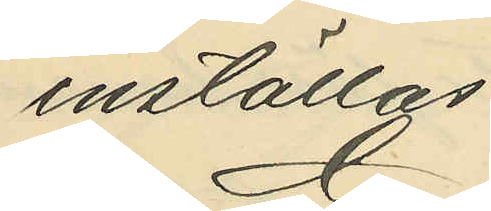inställas.
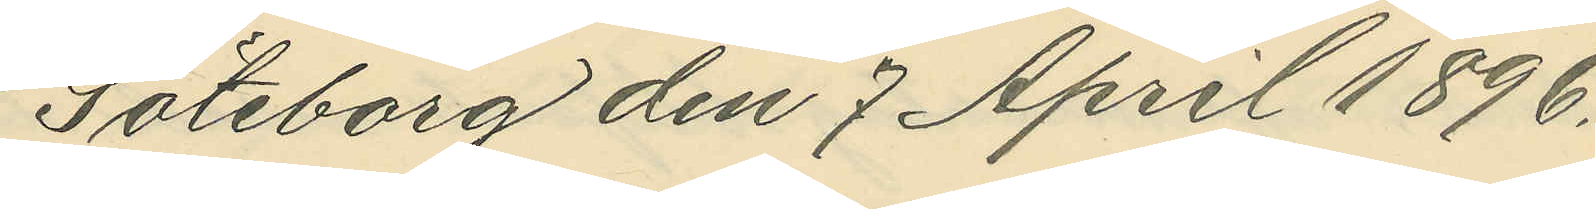Göteborg den 7 April 1896.
